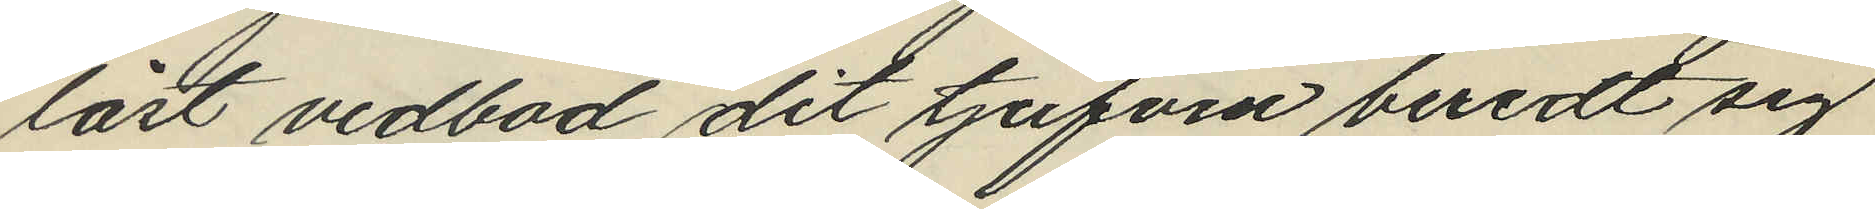låst vedbod dit tjufven beredt sig
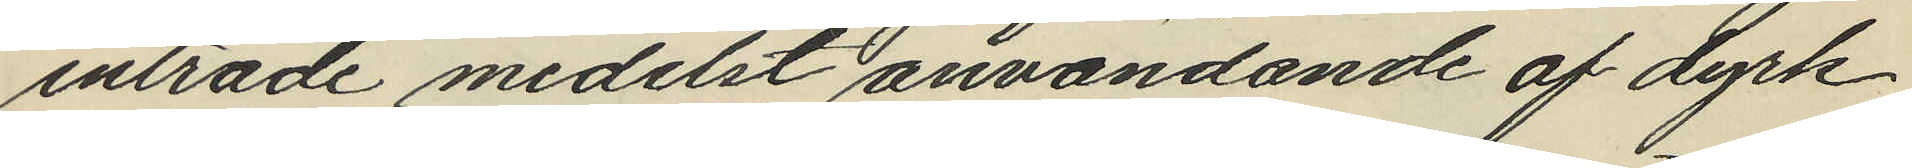inträde medelst användande af dyrk
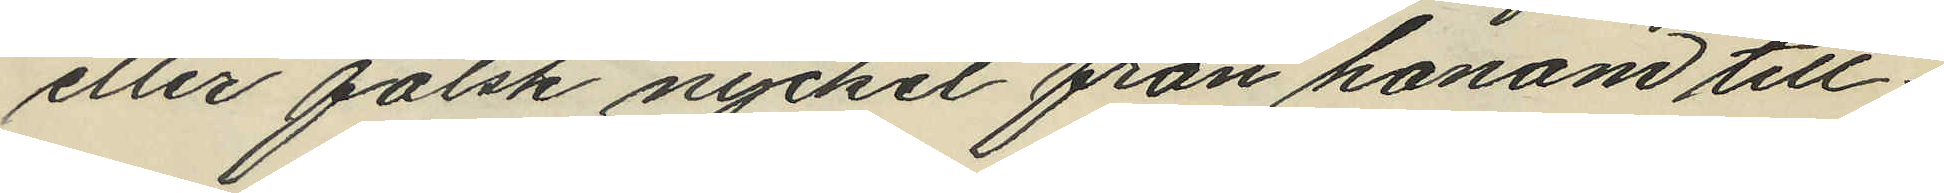eller falsk nyckel från honom till¬
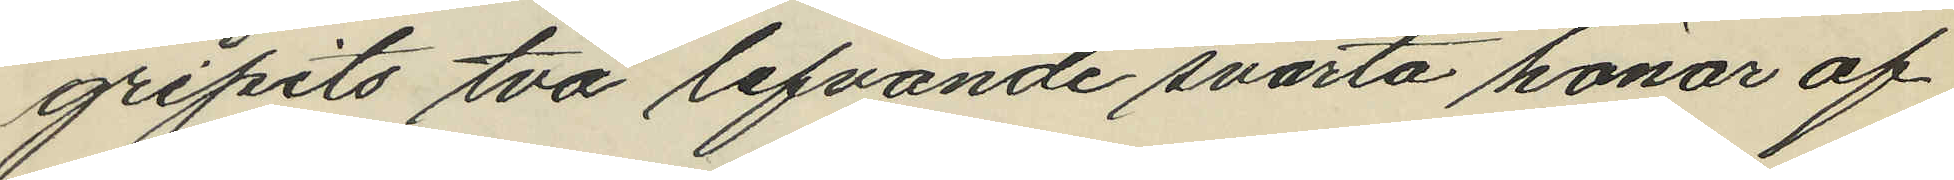gripits två lefvande svarta hönor af
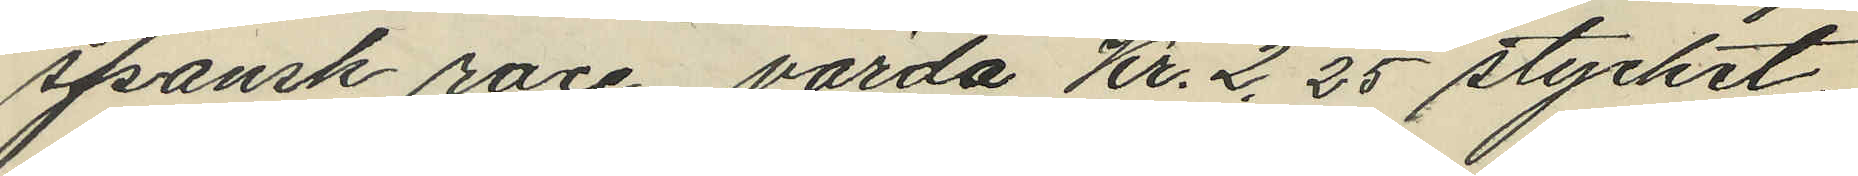spansk race, värda Kr. 2,25 stycket.
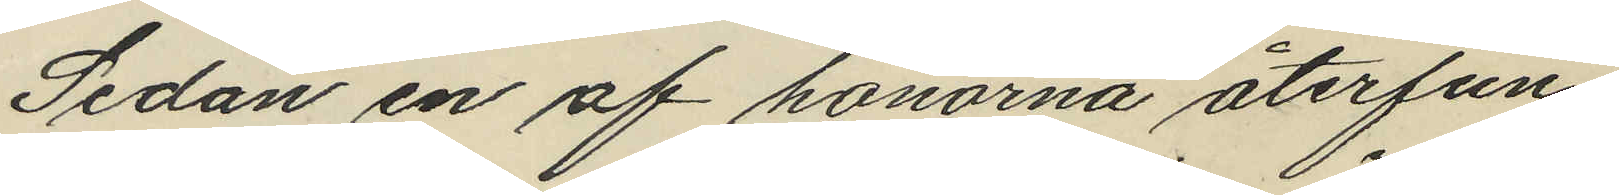Sedan en af hönorna återfun¬
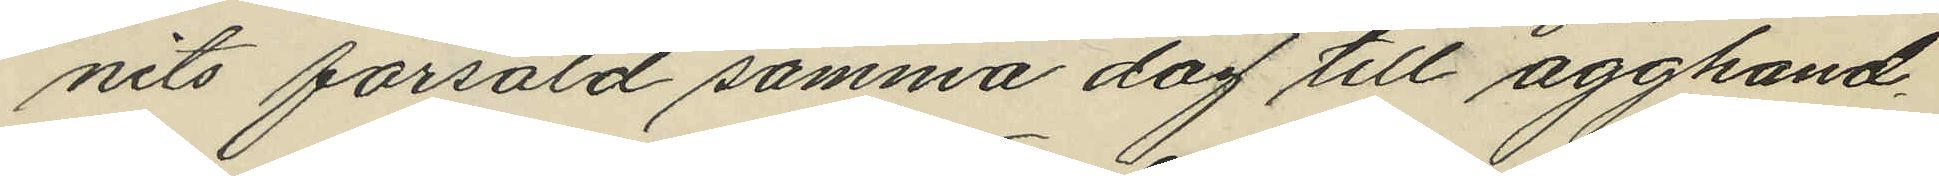nits försåld samma dag till ägghand¬
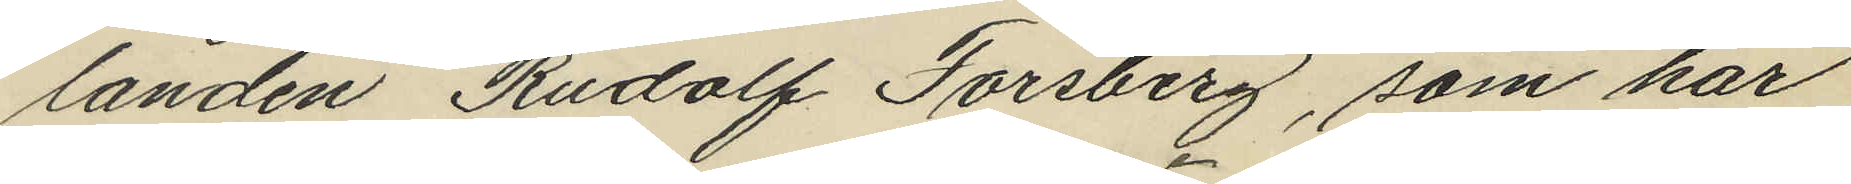landen Rudolf Forsberg, som har
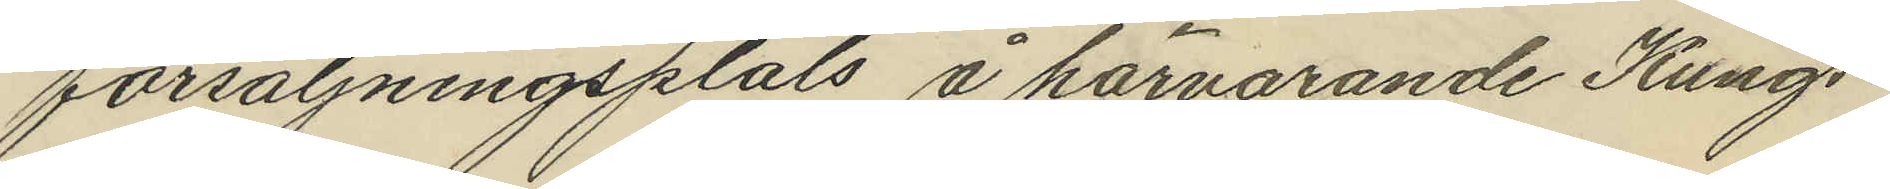försäljningsplats å härvarande Kungs¬
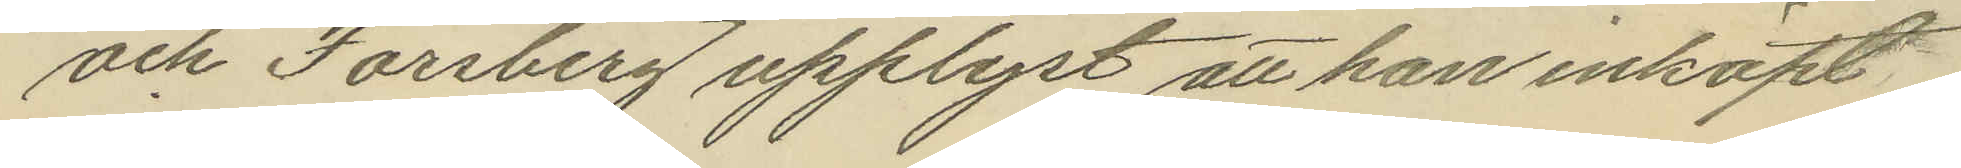och Forsberg upplyst att han inköpt
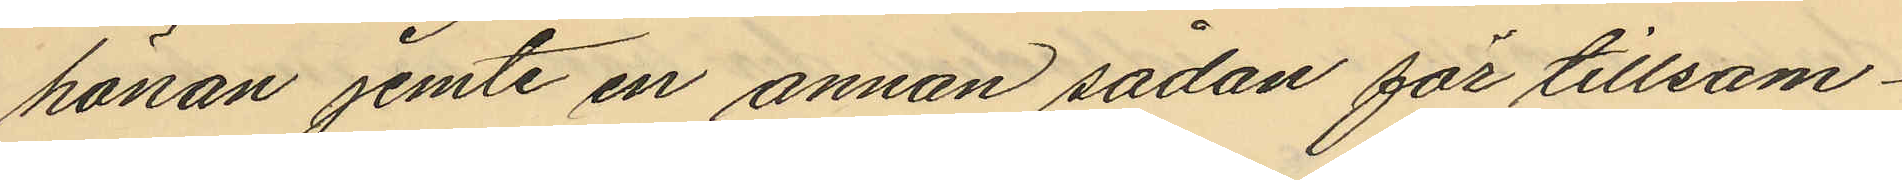hönan jemte en annan sådan för tillsam¬
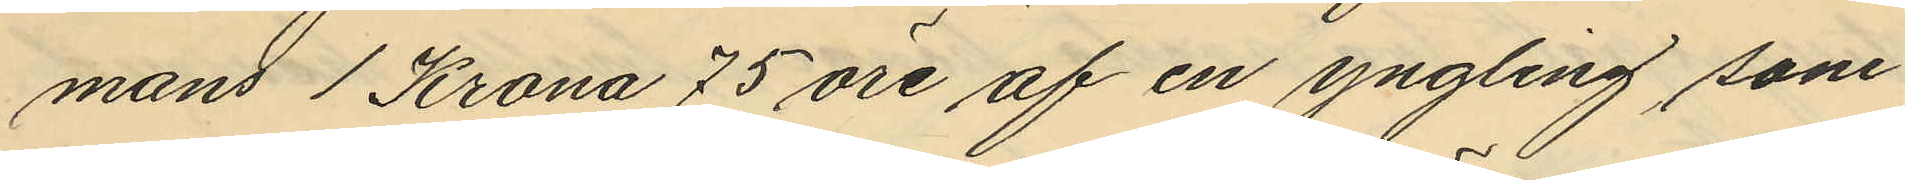mans 1 Krona 75 öre af en yngling som
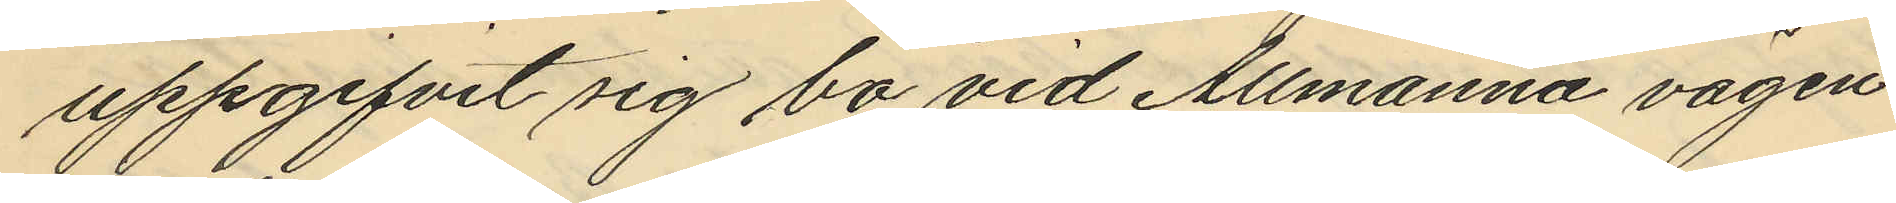uppgifvit sig bo vid Allmänna vägen
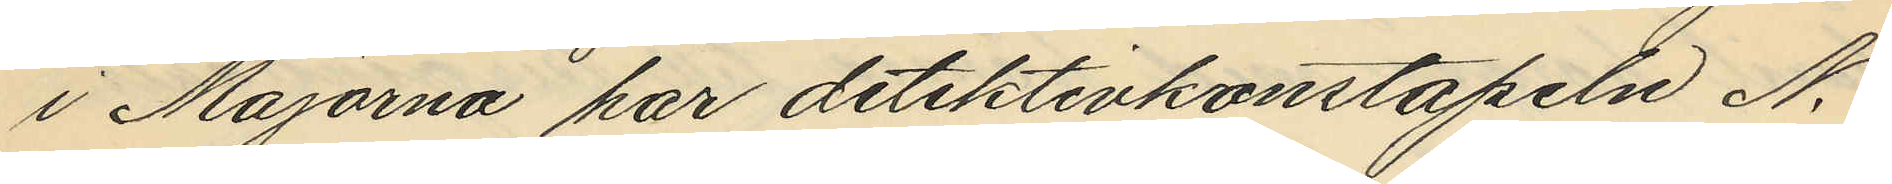i Majorna har detektivkonstapeln N.
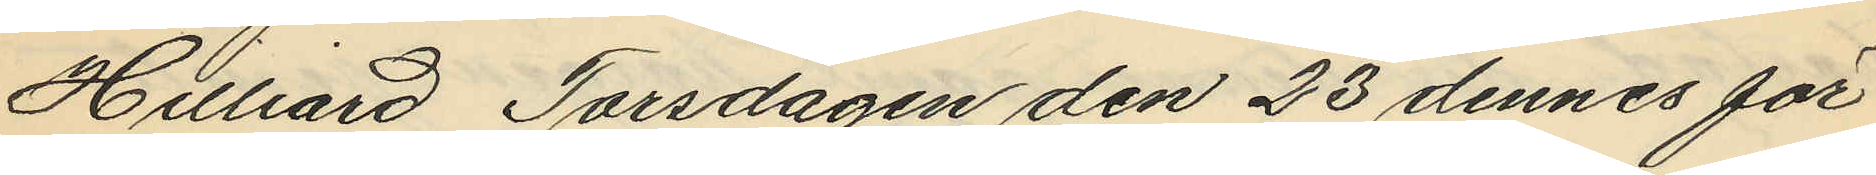Hillard Torsdagen den 23 dennes för
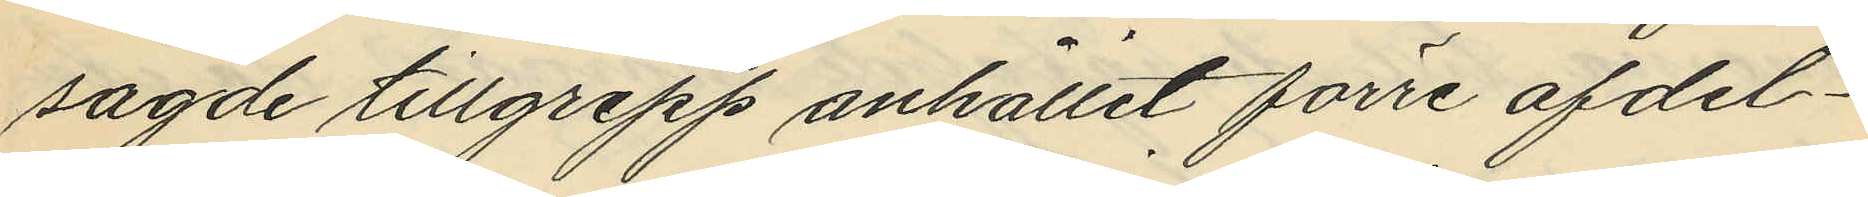sagde tillgrepp anhållit förre afdel¬
